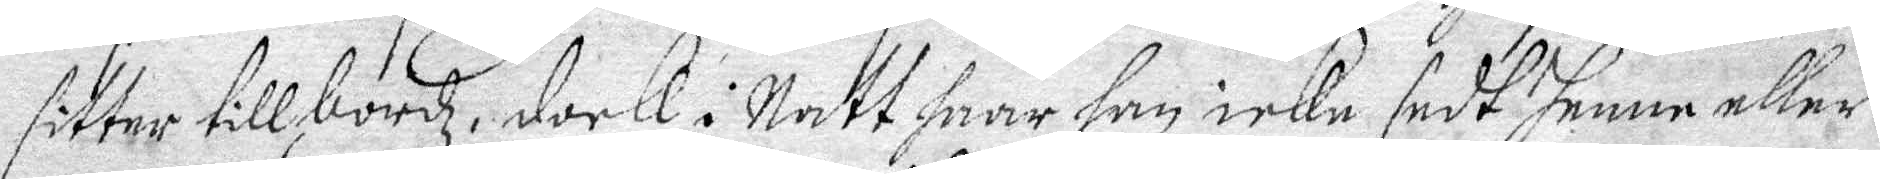sitter tills bordz, dock i Natt haar han ickn sedt henne eller
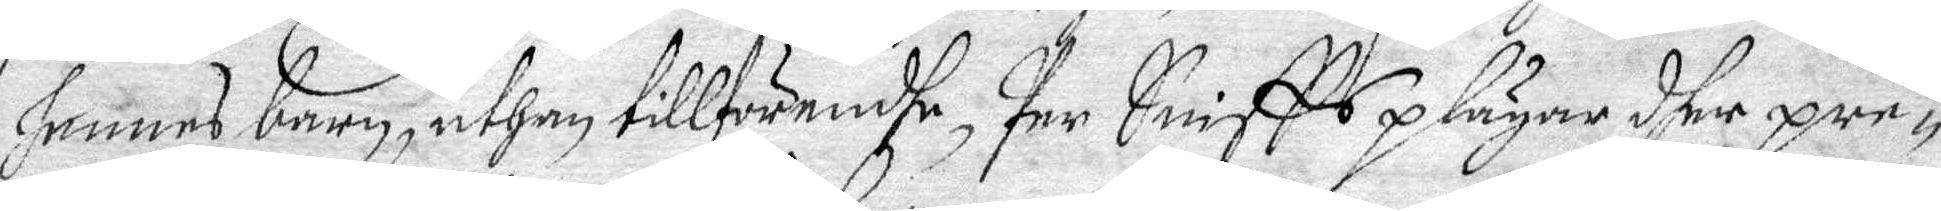hennes barn, uthan tillförendhe, Pern Sniffs plägar dher pre¬
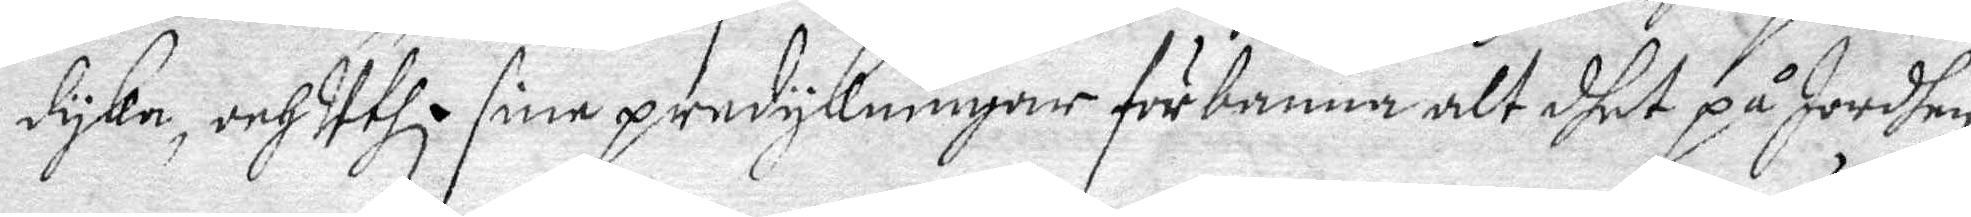dyke, och Uthi sine predykningar förbanna alt dhet på Jordhen
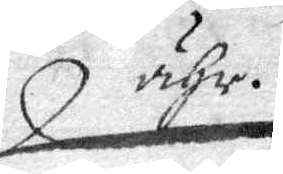ähr.
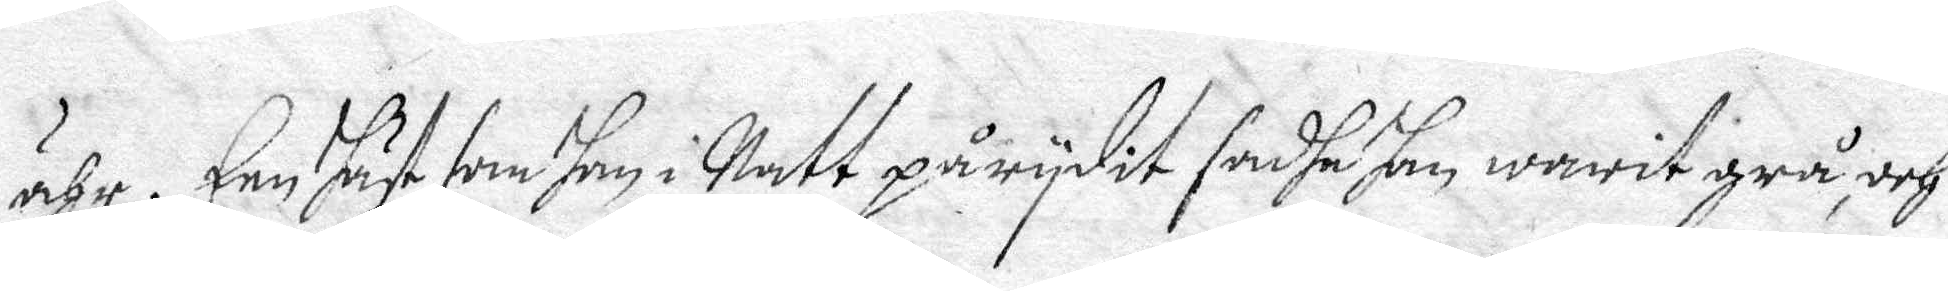ähr. Een Häst som han i Natt på rydit sadhe Han, warit grå, och
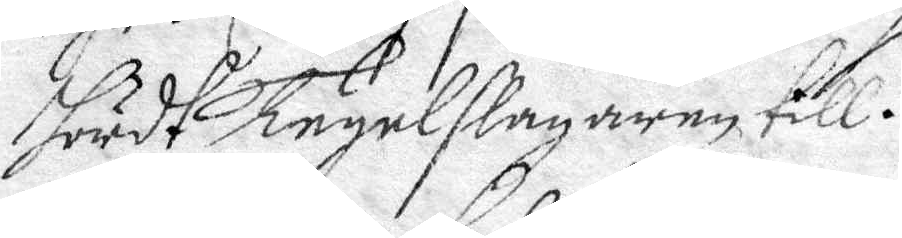hördh Tegelslagaren till.
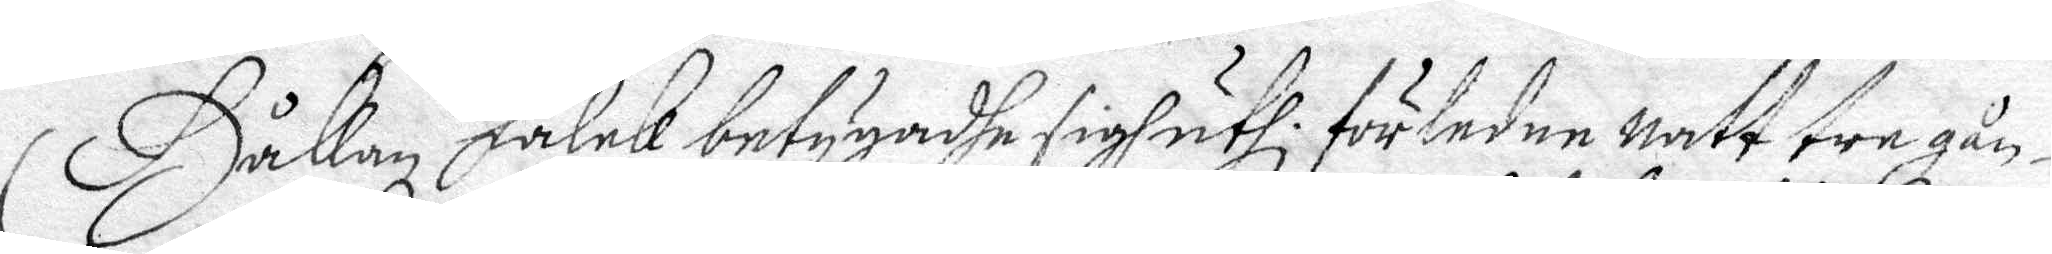Håkan Falck betygadhe sigh uthi. förledne natt tre gån¬
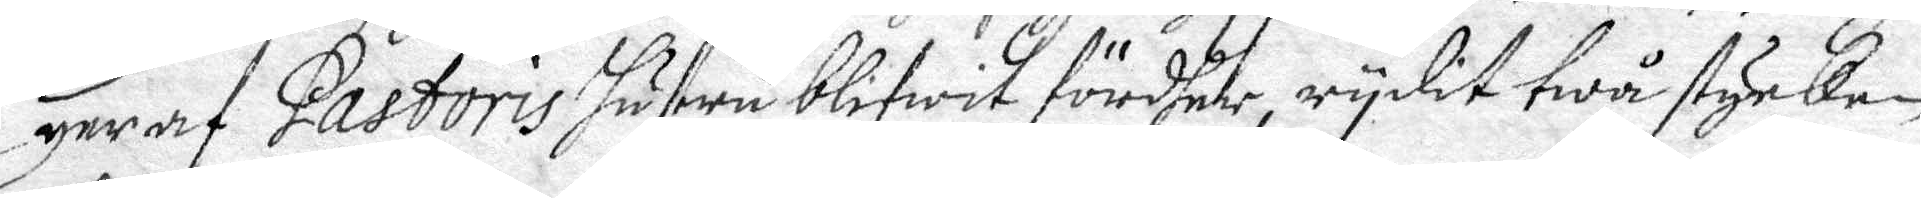ger af Pastoris hustru blifwit fördhehr, rydit twå stycken
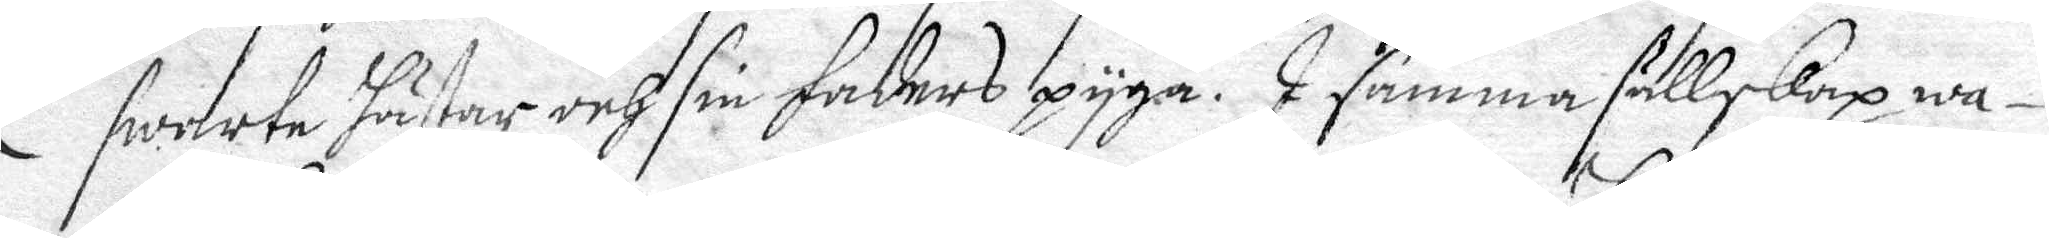swarte hästar och sin Faders pyga. I samma sällskap wa¬
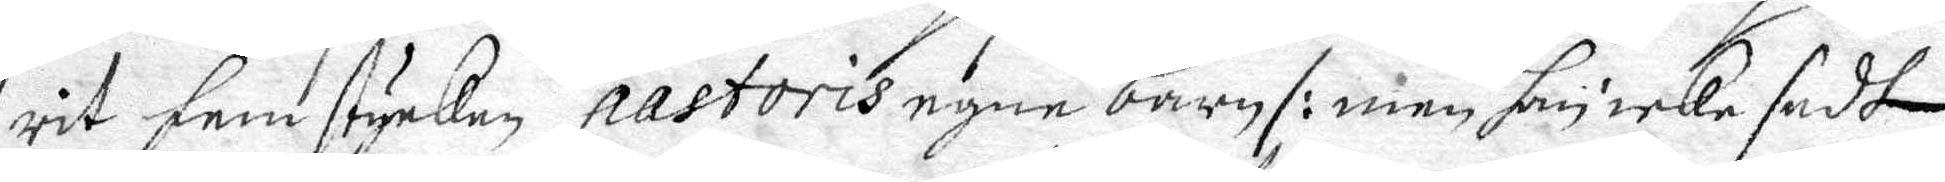rit fem stycken pastoris egne barn /: men han icke sedt
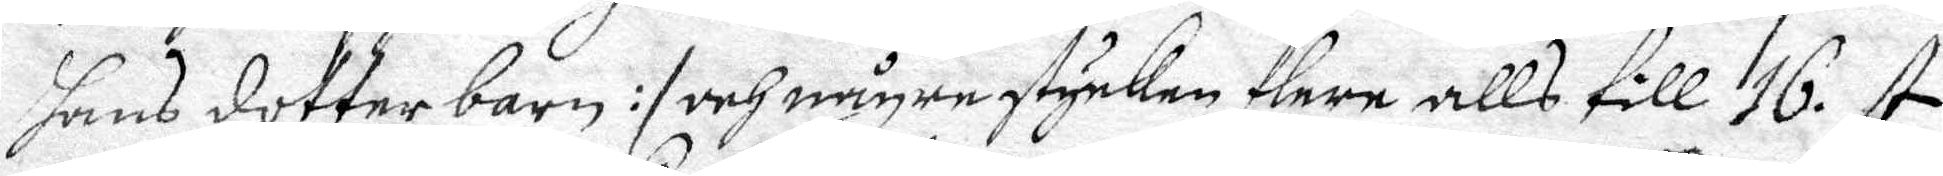hans dotterbarn:/ och någre stycken flere alls till 16. st.
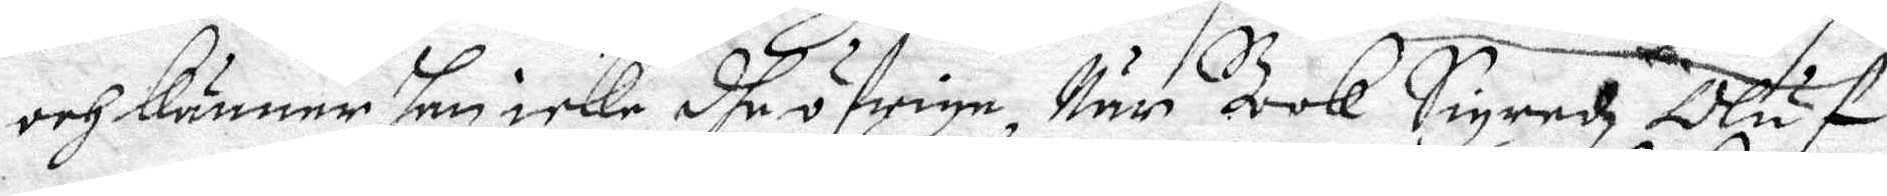och känner han icke dhe öfrige, När Bok Sigredz Oluf
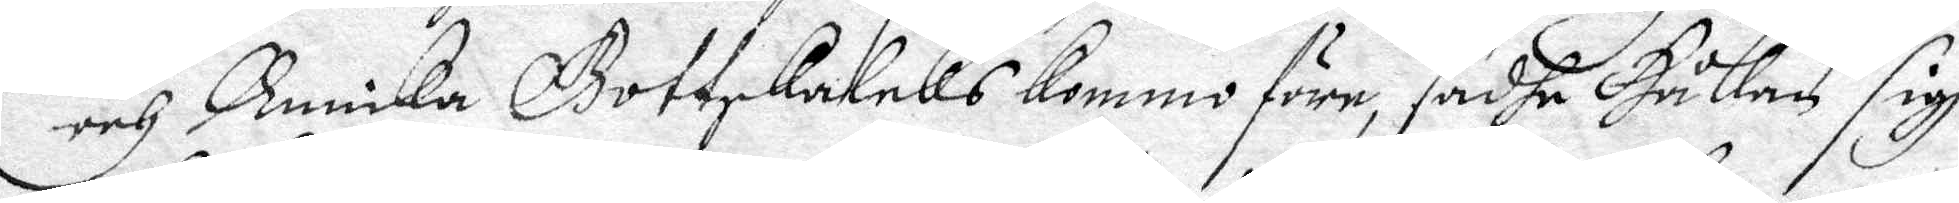och Annicka Gottskalcks kommo före, sadhe Håken sigh 
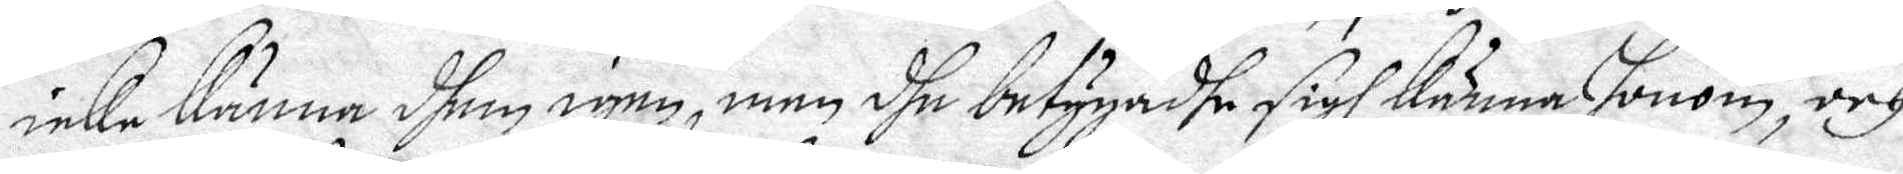icke känna dhem igen, men dhe betygadhe sigh känna honom, och
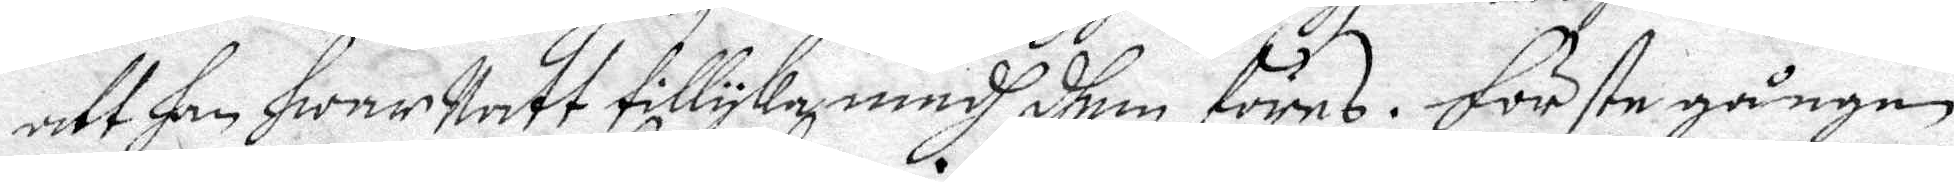att han hwar Natt tillyka medh dhem föres. Förste gången
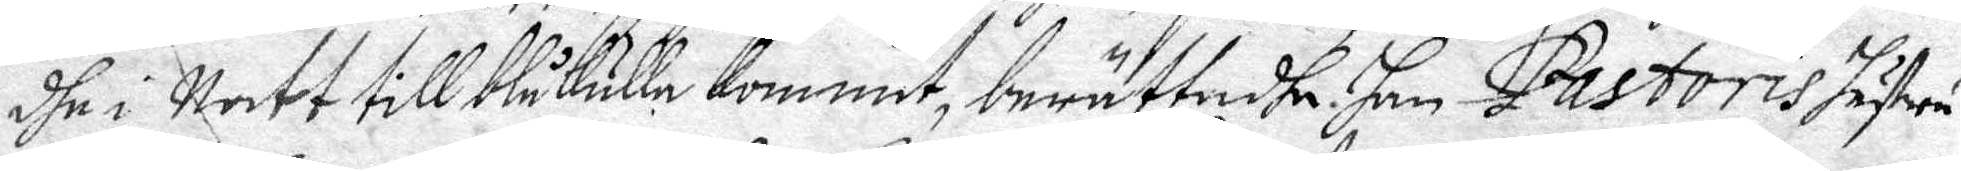dhe i Natt till Blåkulle kommit, berättadhe han Pastoris hustru
